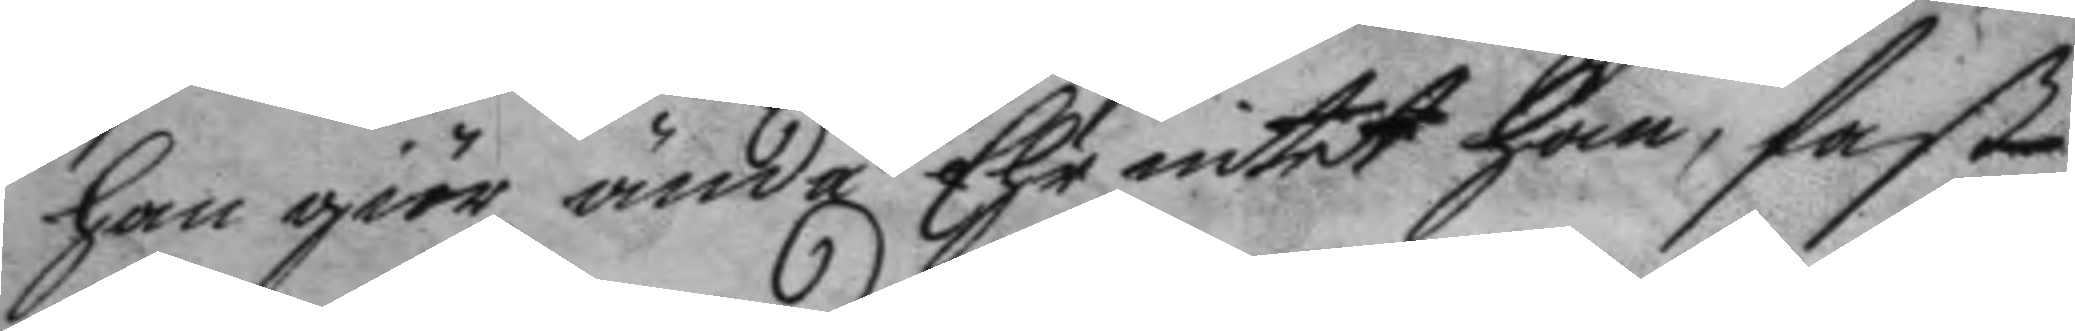han giör ändå Ehr intet han, fast
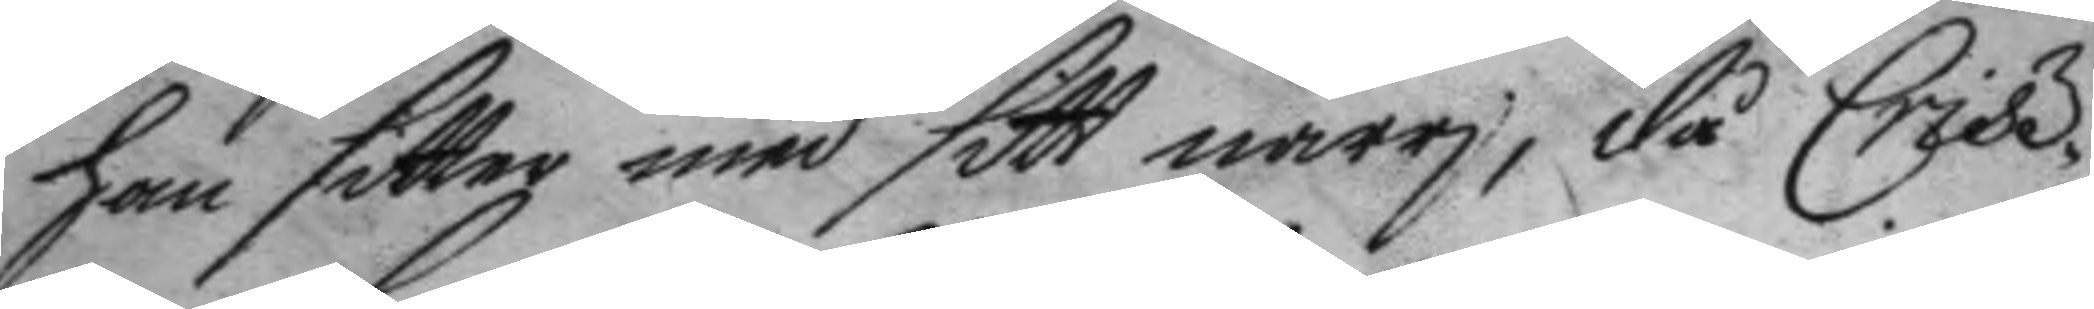han sitter med sitt narri, då Crisz¬
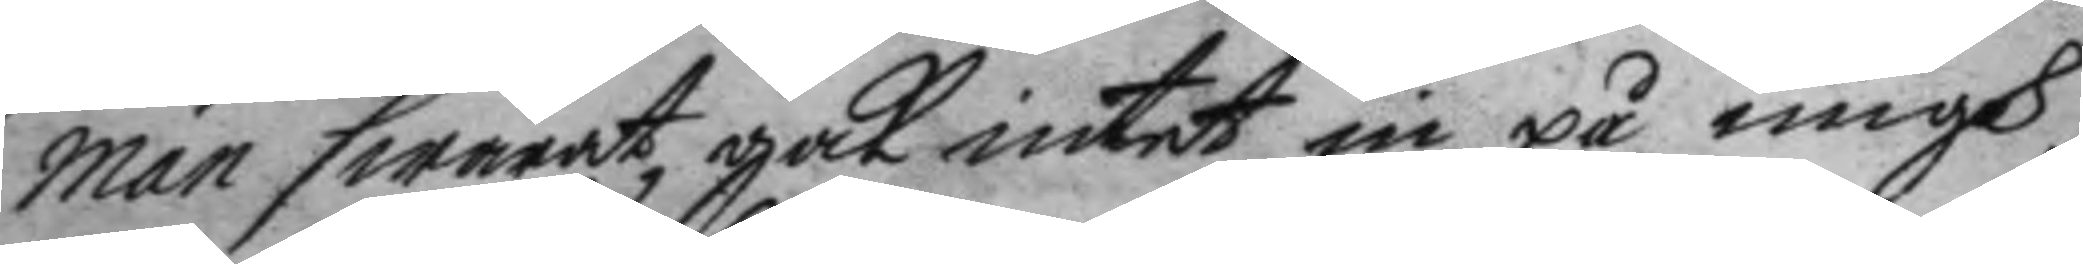man swarat, gak intet in på migh,
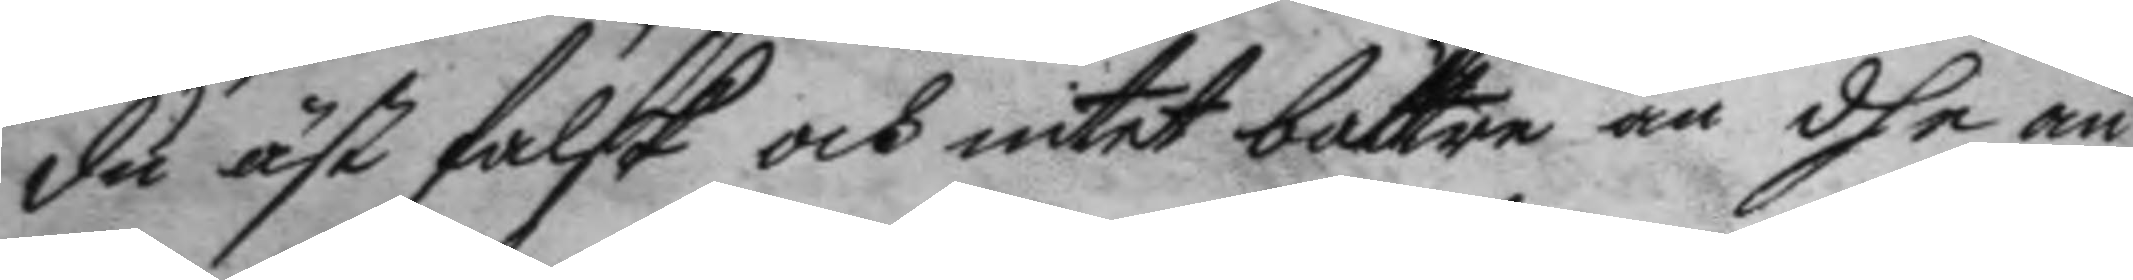du äst falsk och intet bättre än dhe an¬
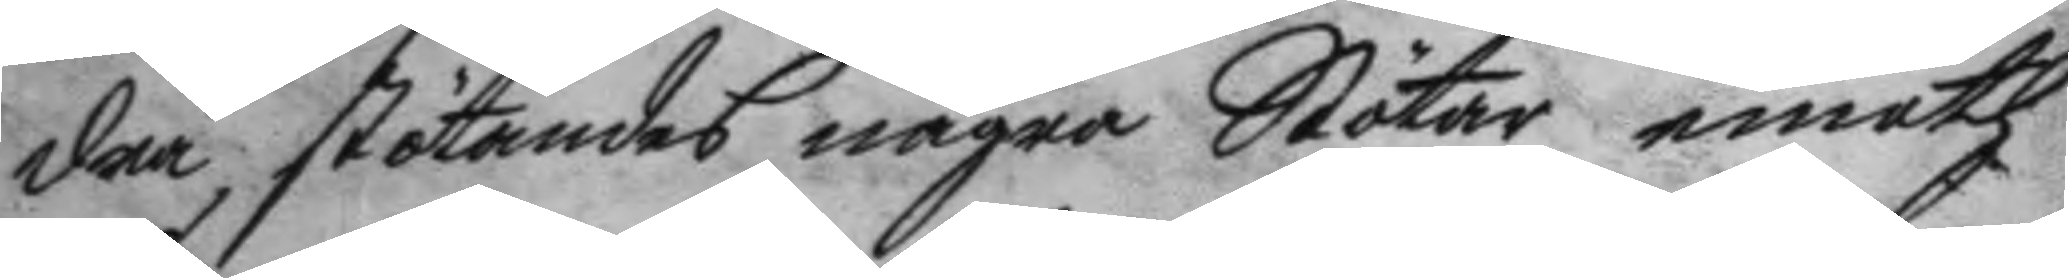dra, stötandes några Stötar emoth
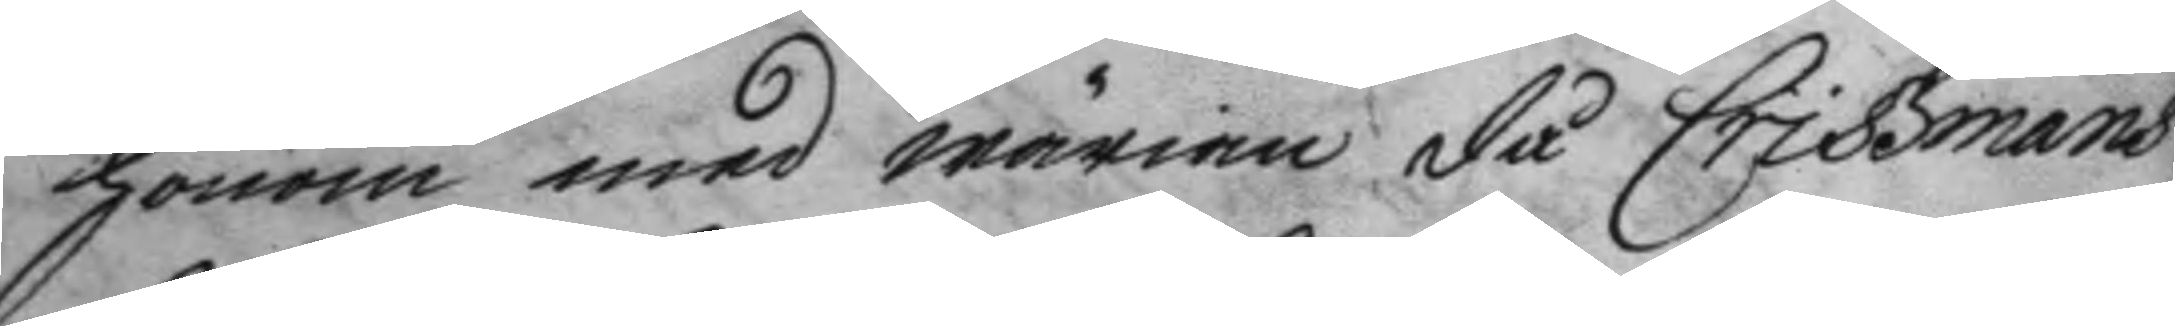honom, men wärian då Criszmans
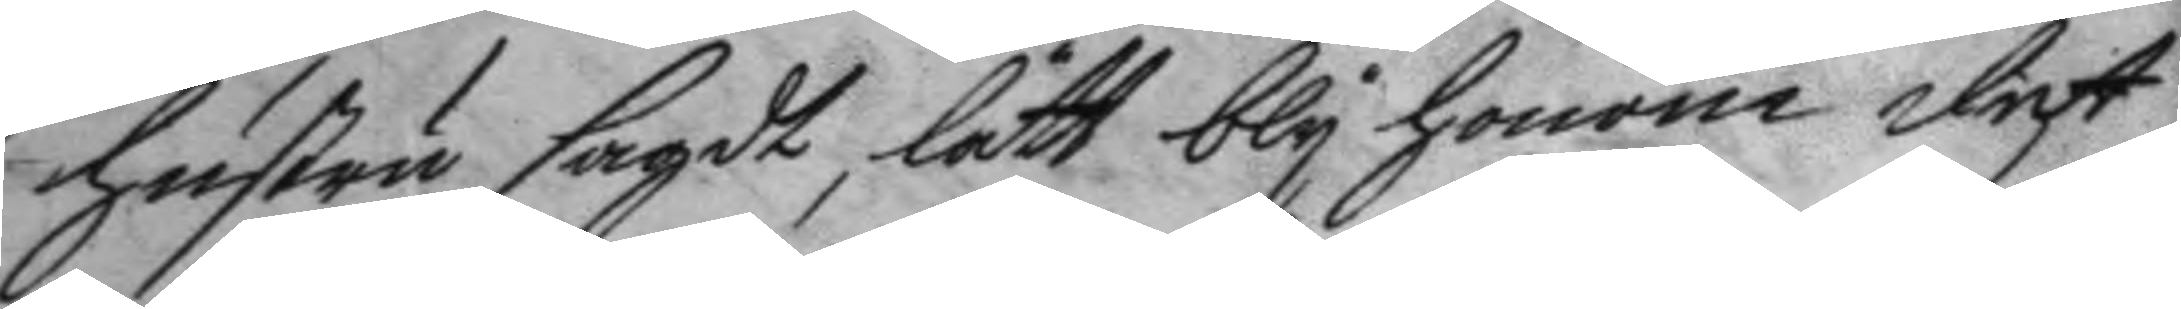hustru sagdt, lätt bly honom det
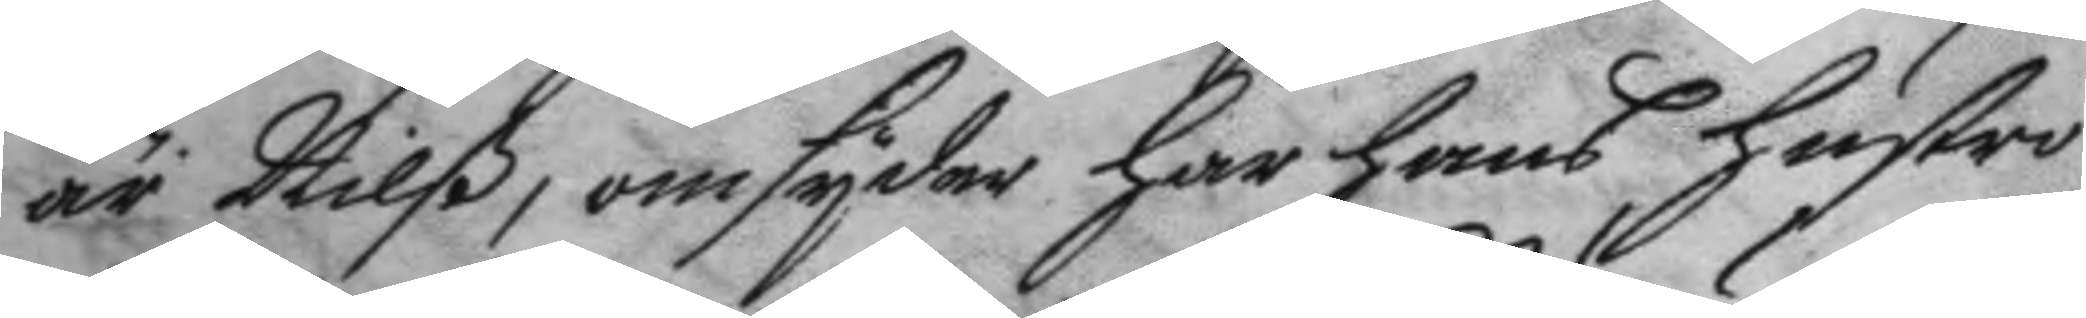är Nilß, omsyder har hans hustro
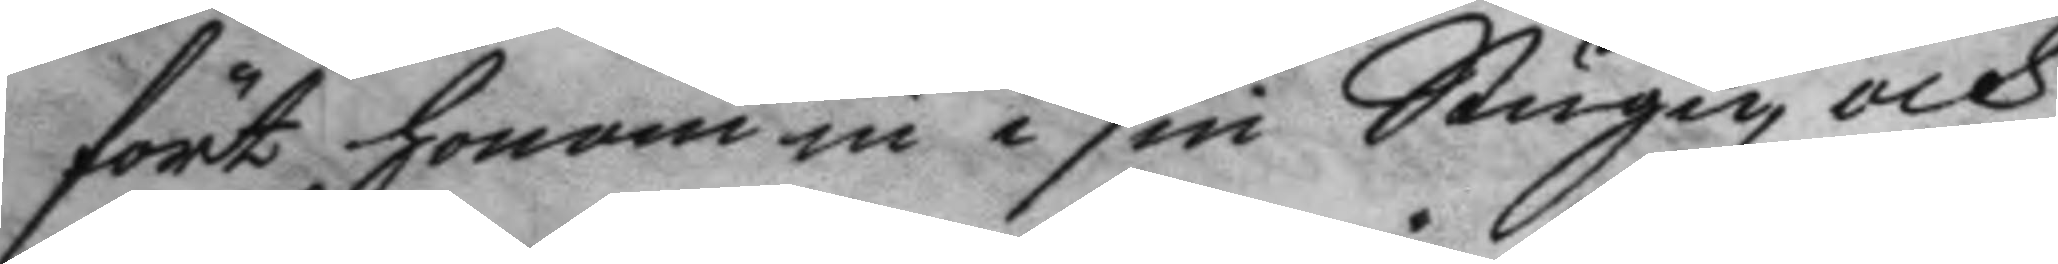fört honom in i sin Stugu, och
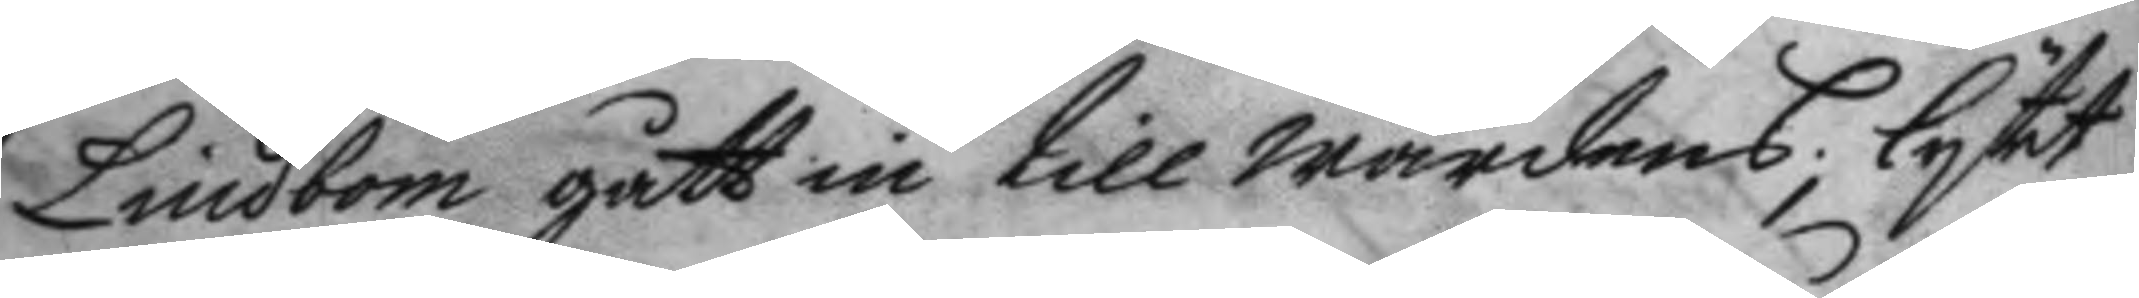Lindbom gått in till wärdens; lytet
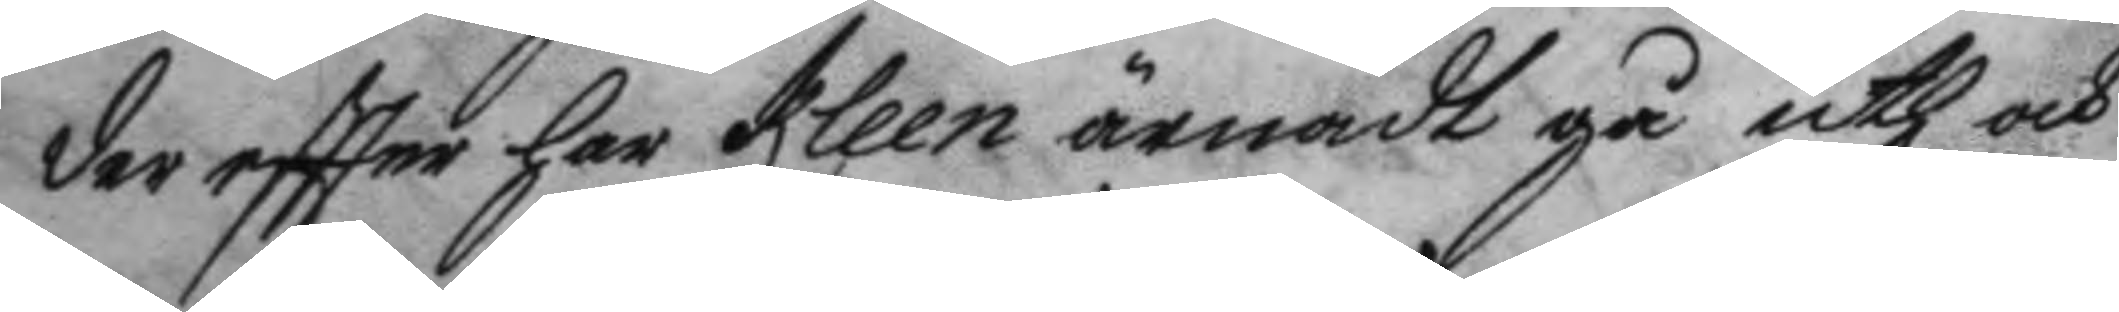der eftter har Kleen ärnadt gå uth och
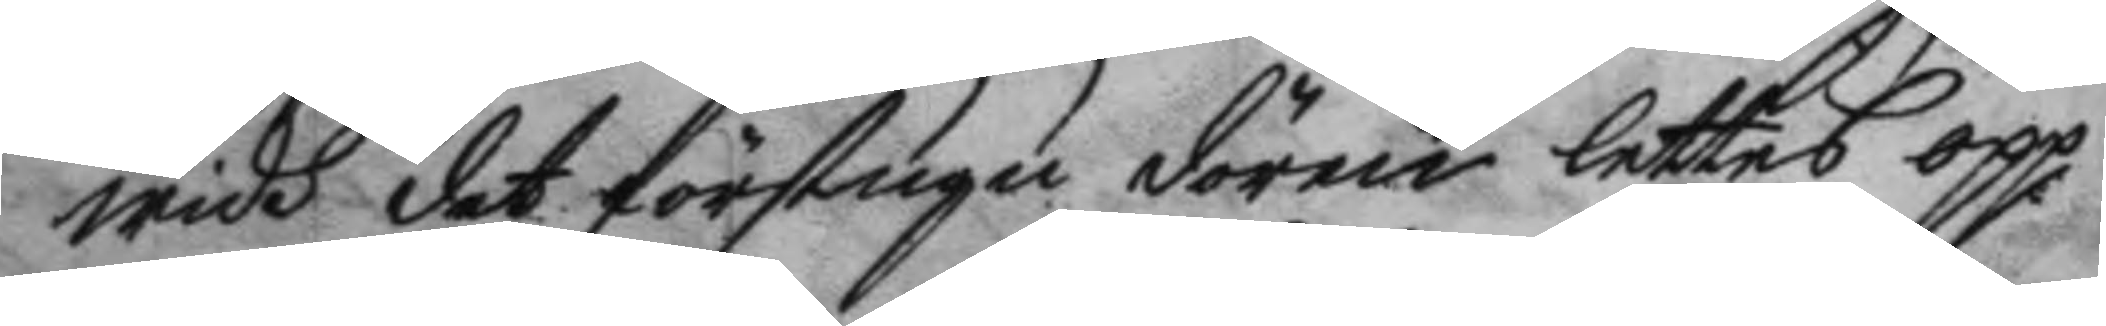widh det förstugu dörrin lettes opp
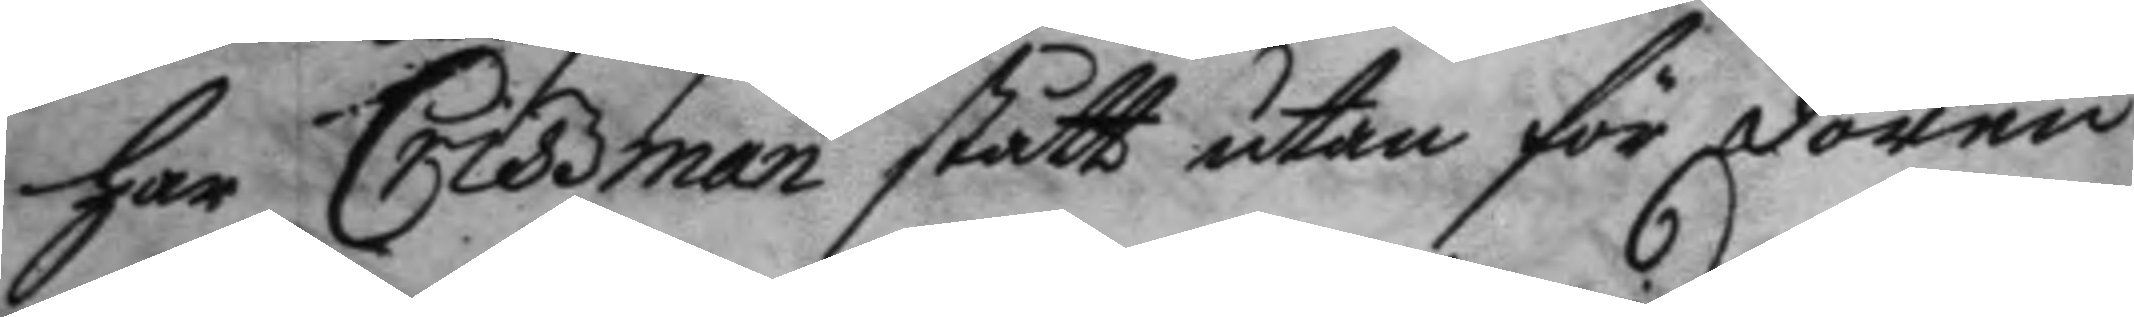han Criszman stått utan för dören
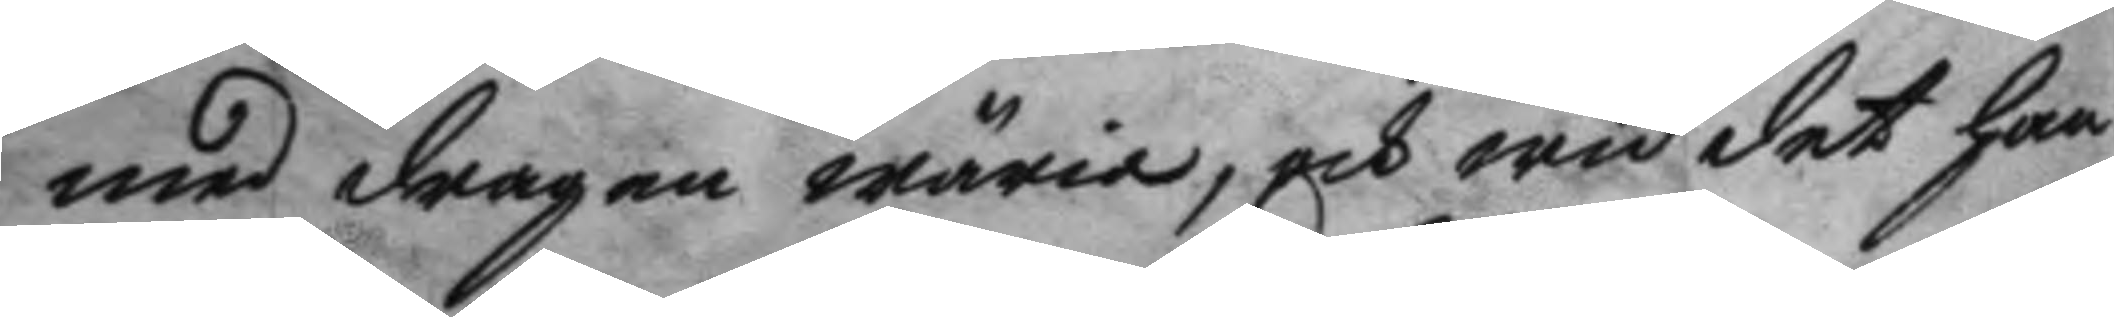med dragen wäria, och wid det han
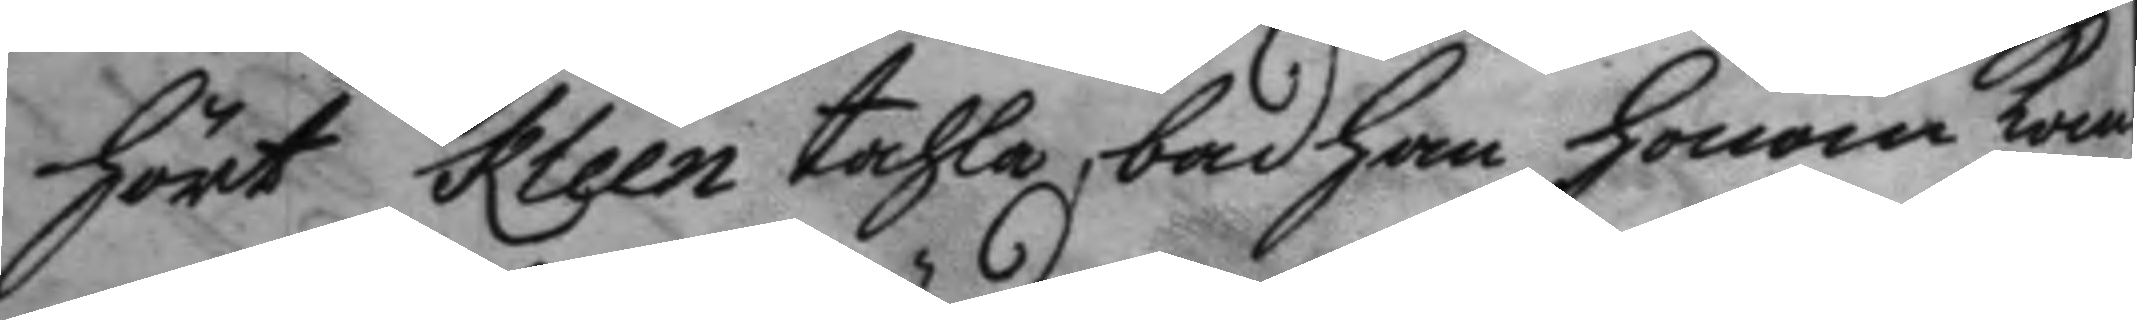hört Kleen tahla, bad han honom kom¬
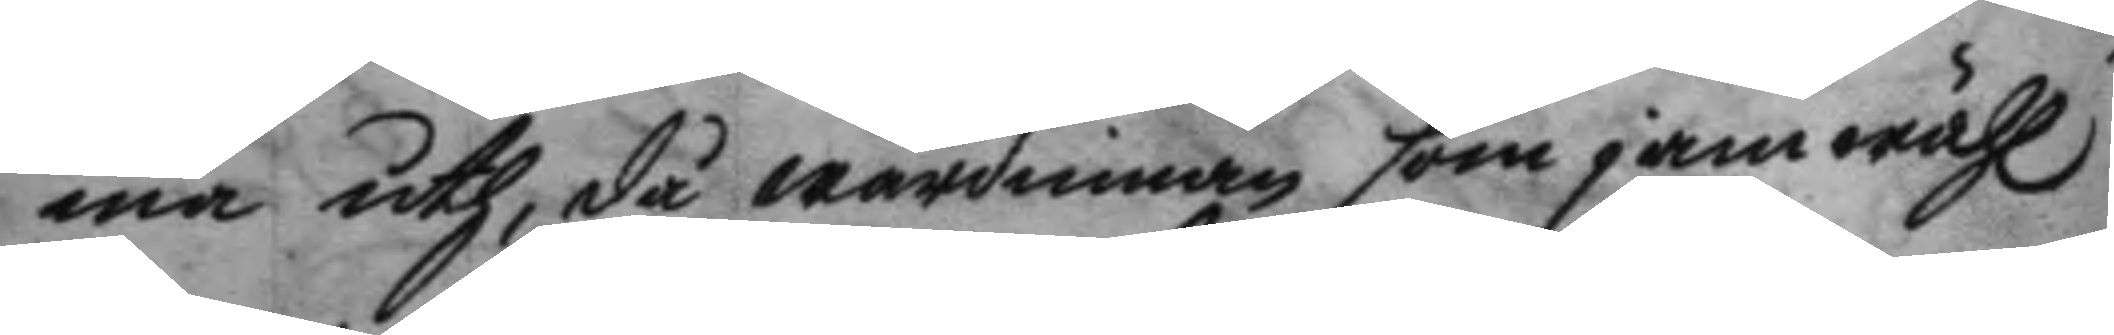ma uth, då wärdinnan som jemwähl
